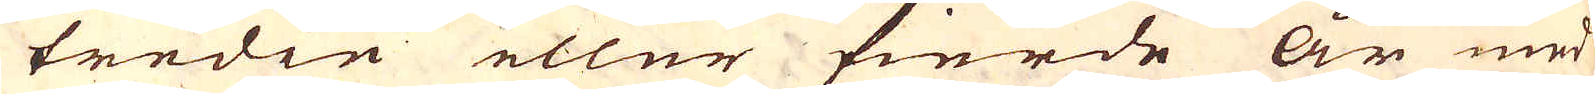tredie eller fierde år med
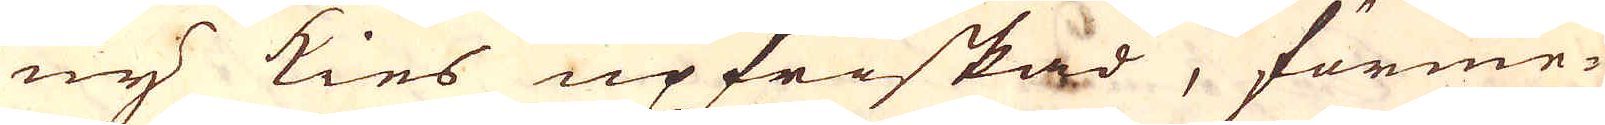ny kies upfriskad, förme-
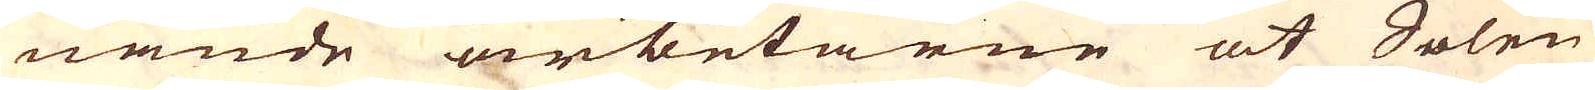nande arbetarne at Solen
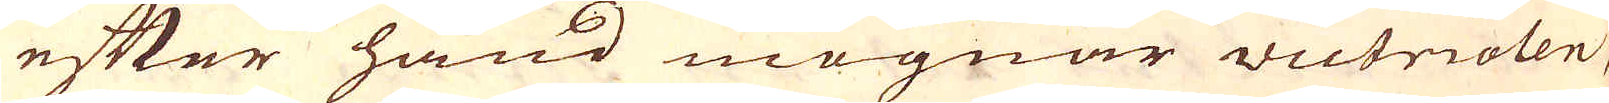efter hand mognar victriolen,
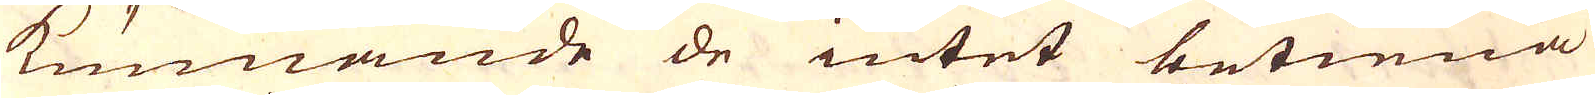kunnande de intet betiena
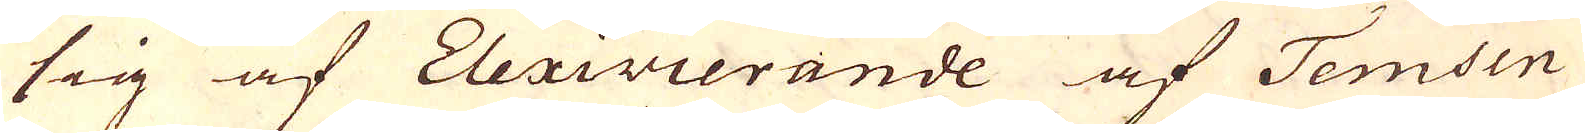sig af Elexivierande af Temsen
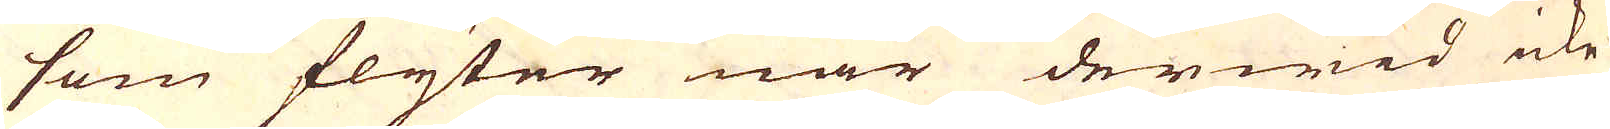som flyter när derwid icke
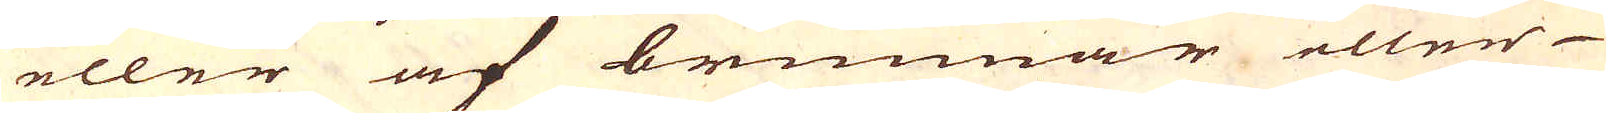eller af brunnar eller
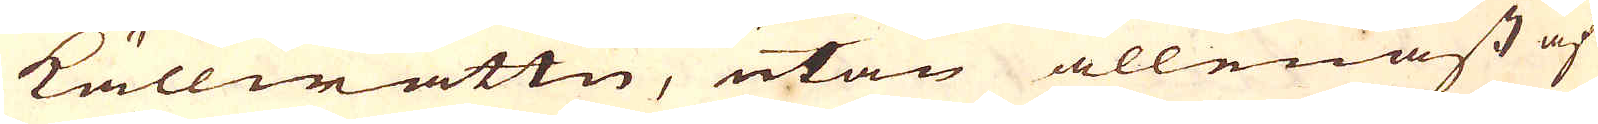källwattn, utan allenast af
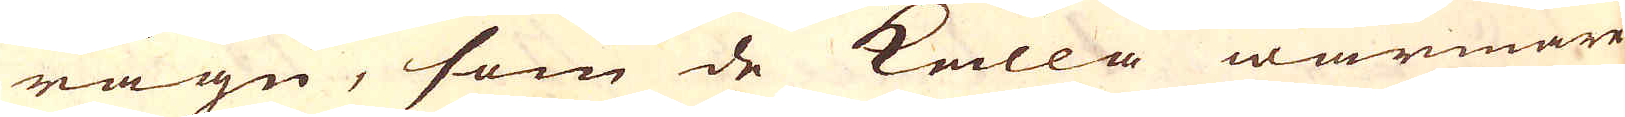rägn, som de kalla warmare
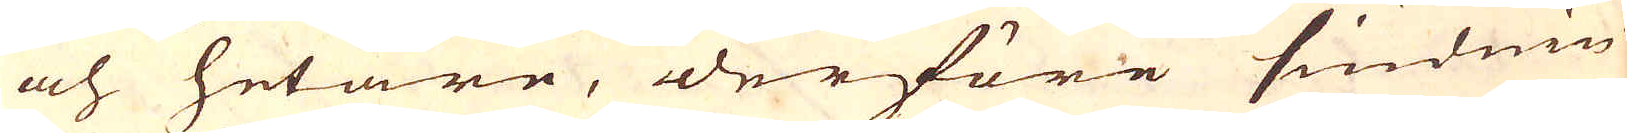och hetare, derföre siudnin-
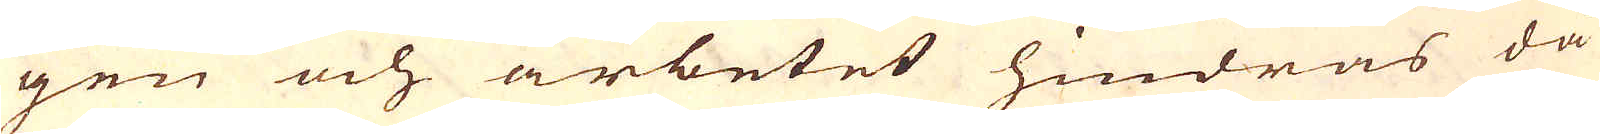gen och arbetet hindras då
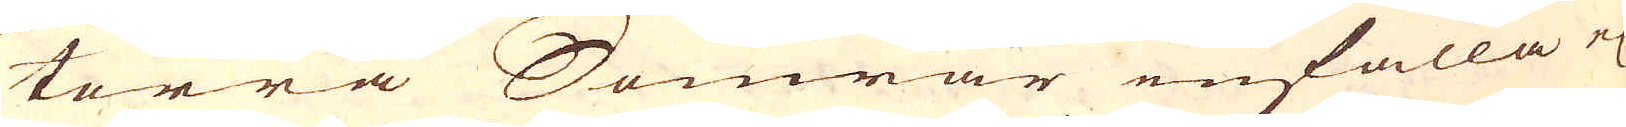torra Somrar infalla el
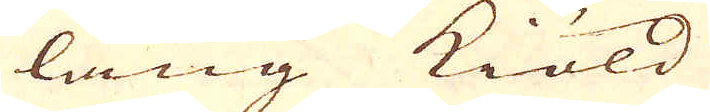läng kiöld.
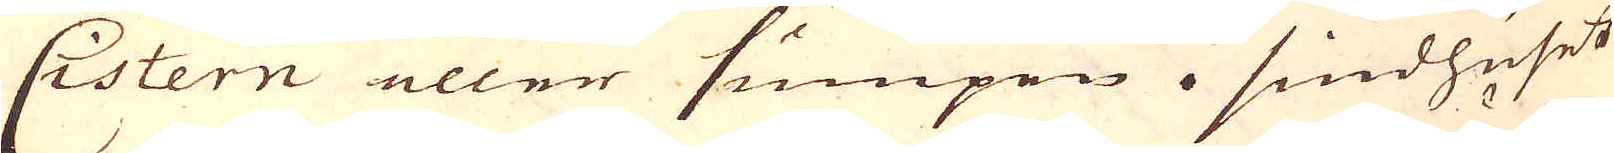Cistern eller sumpen i siudhuset
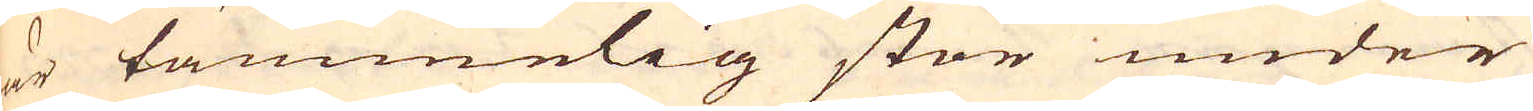är tämmelig stor under
